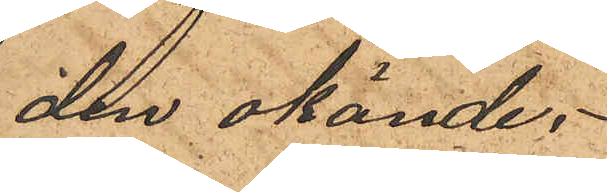den okände;
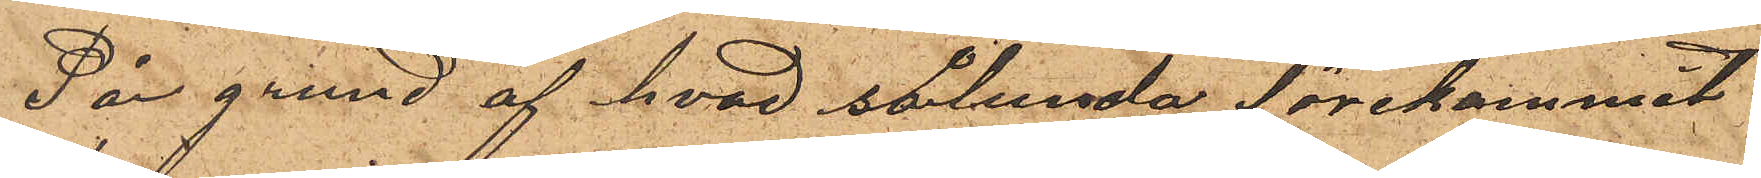På grund af hvad sålunda förekommit
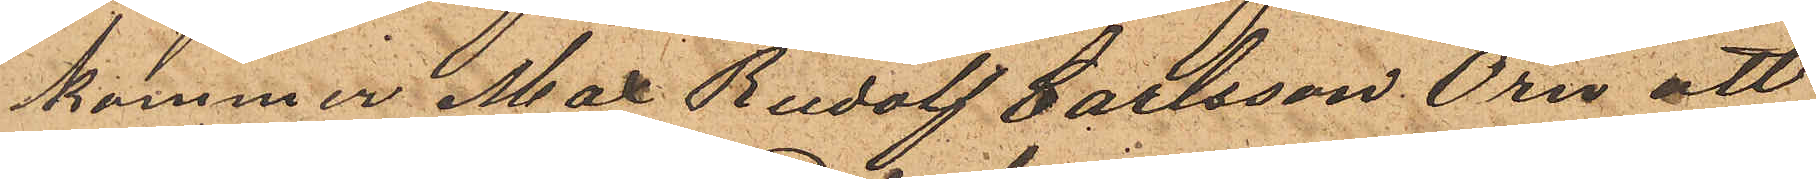kommer Max Rudolf Carlsson Örn att
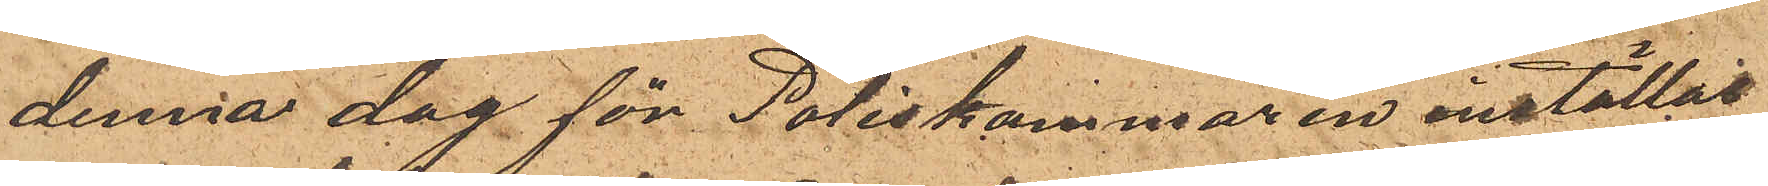denna dag för Poliskammaren inställas.
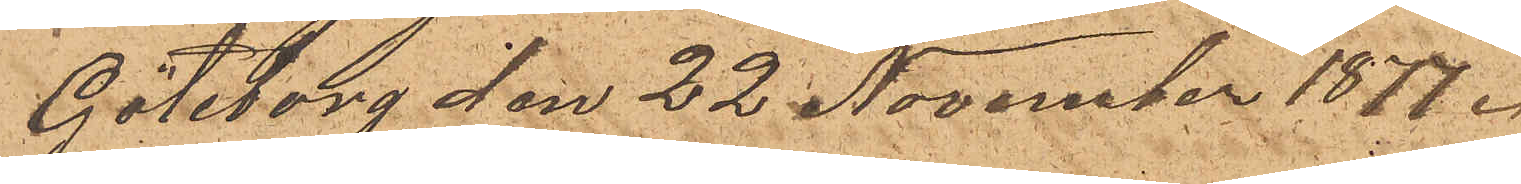Göteborg den 22 November 1877.
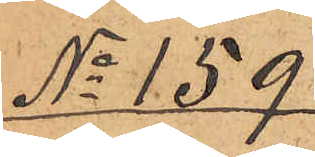No 159
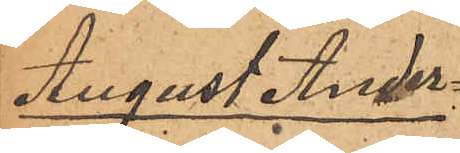August Ander¬
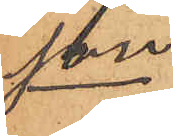son
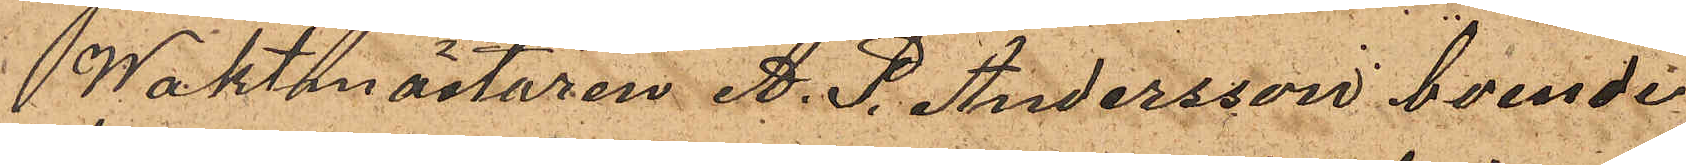Waktmästaren A. P. Andersson boende
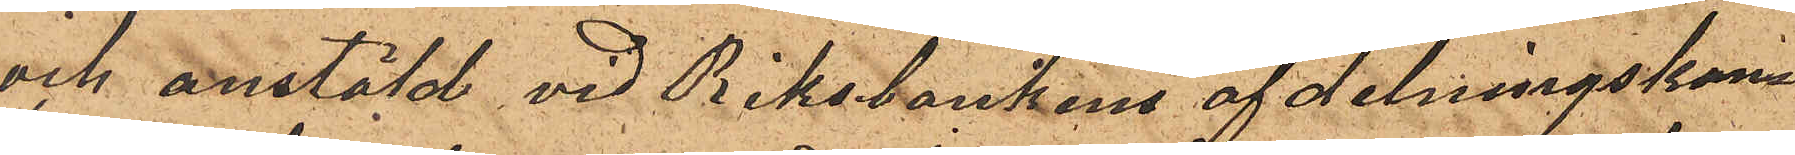och anstäld vid Riksbankens afdelningskon¬
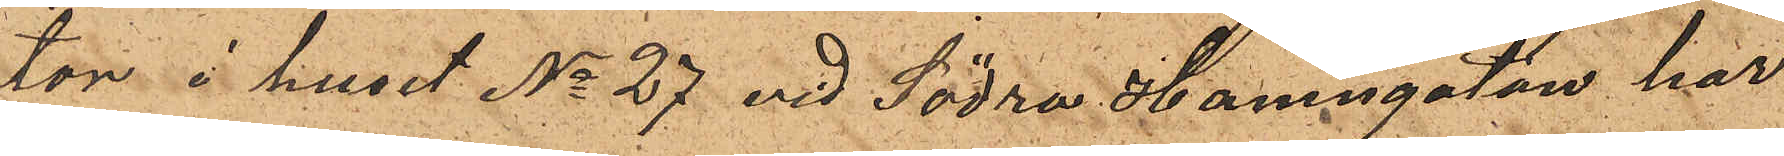tor i huset No 27 vid Södra Hamngatan har
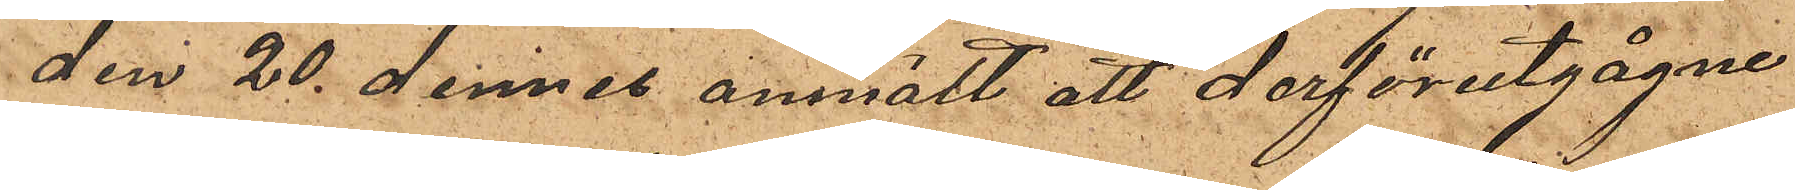den 20 dennes anmält att derförutgågne
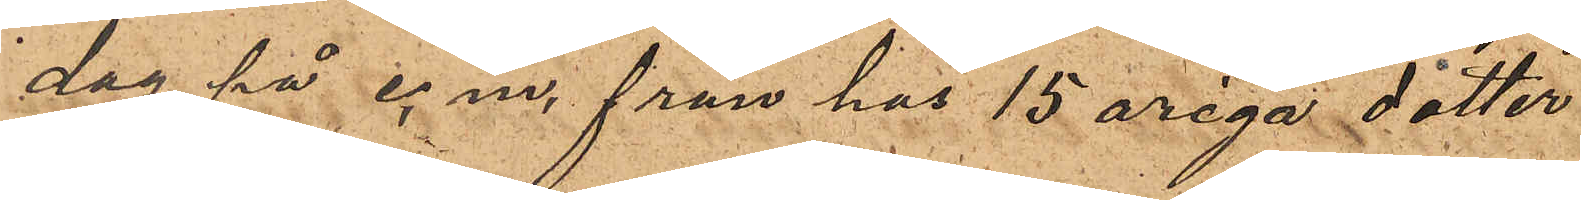dag på e. m. från has 15 åriga dotter
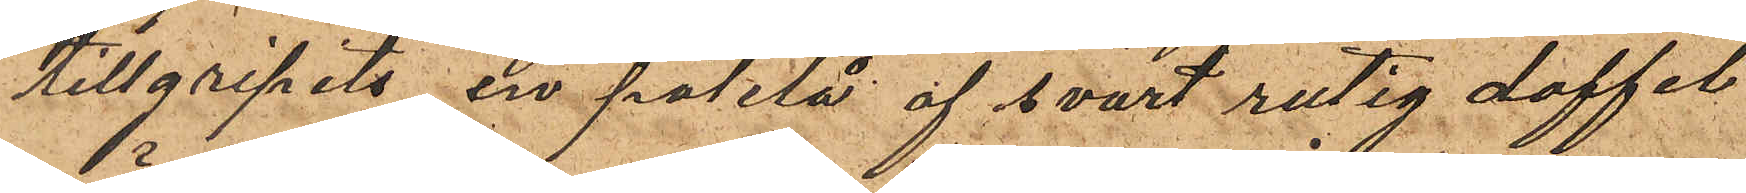tillgripits en paletå af svart rutig doffel
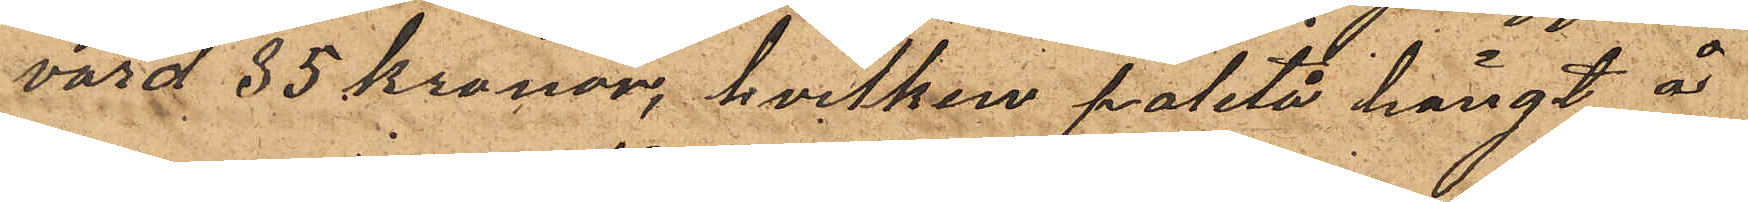värd 35 kronor, hvilken paletå hängt å
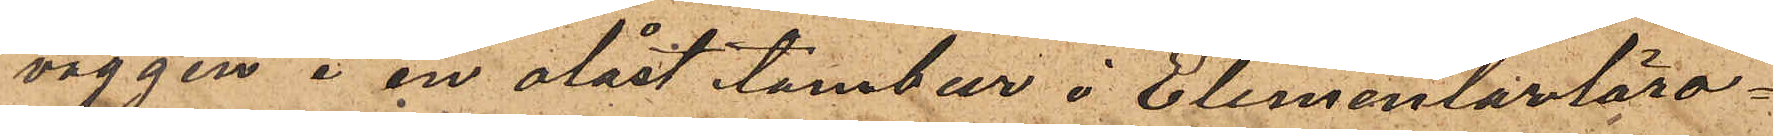väggen i en olåst tambur i Elementarläro¬
